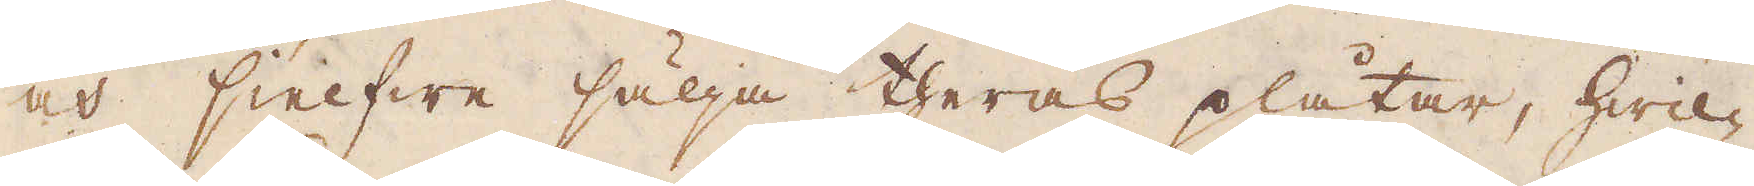och sielfwa sälja theras plåtar, hwil-
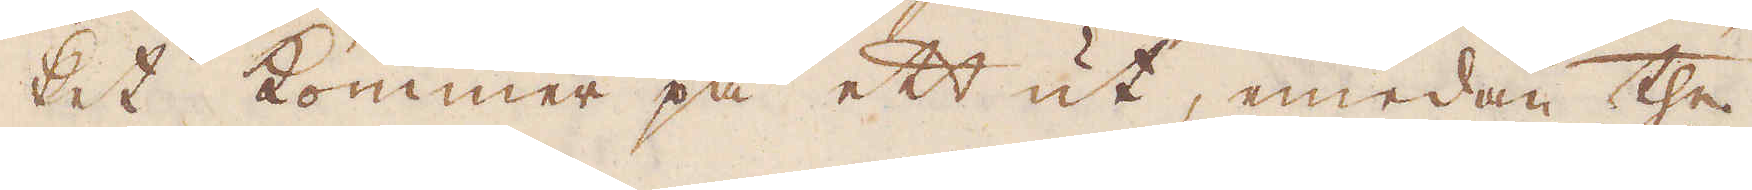ket kommer på ett ut, emedan the
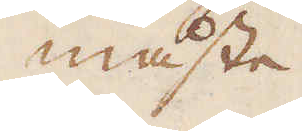måste
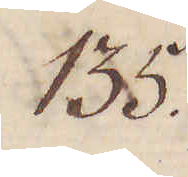135.
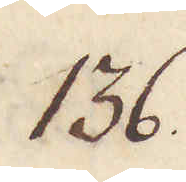136.
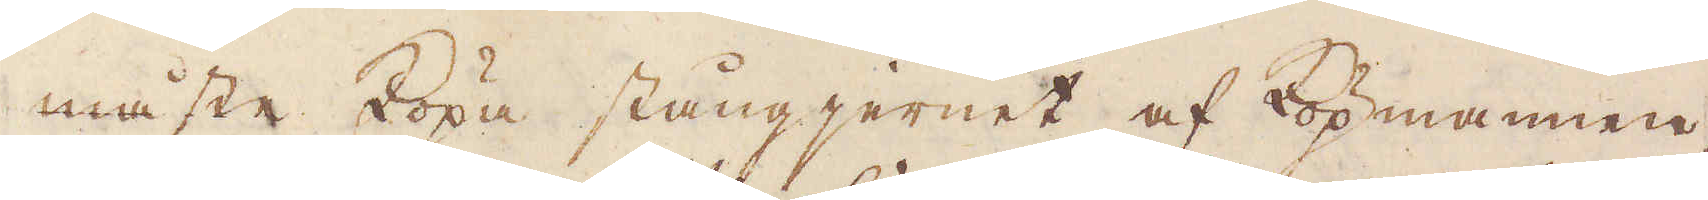måste köpa stångjernet af köpmannen,
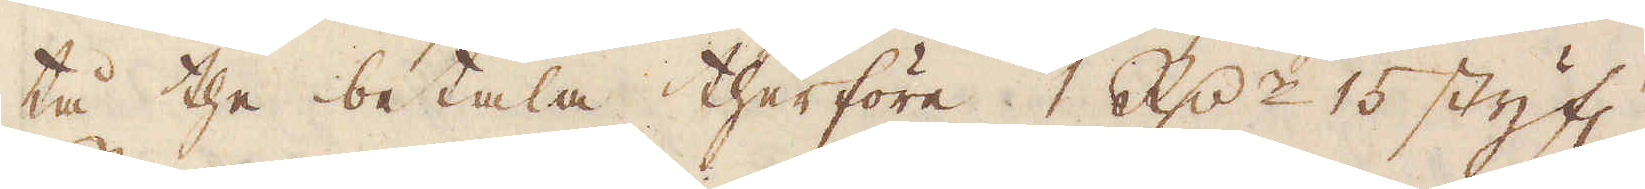tå the betala therföre 1 R:dr 15 styf:r
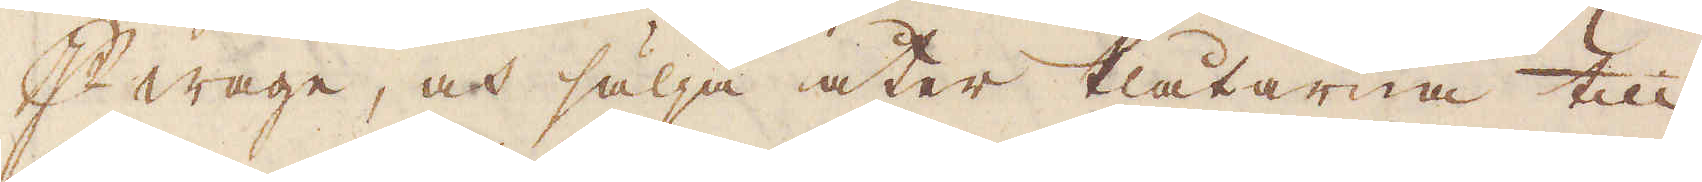p wage, och sälja åter Plåtarna till
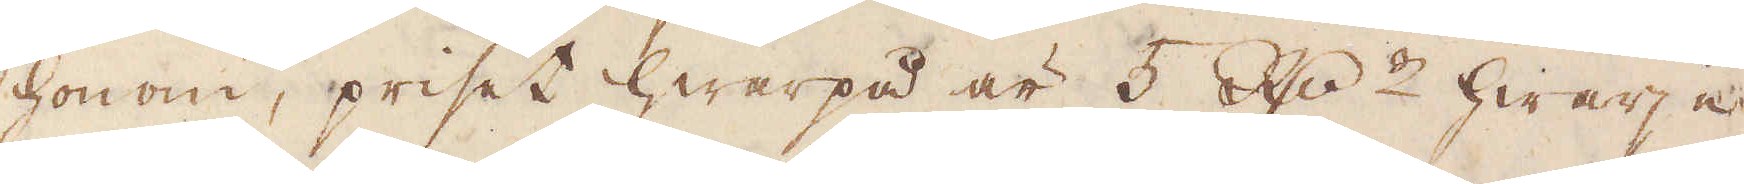honom, priset hwarpå är 5 R:r hwarje
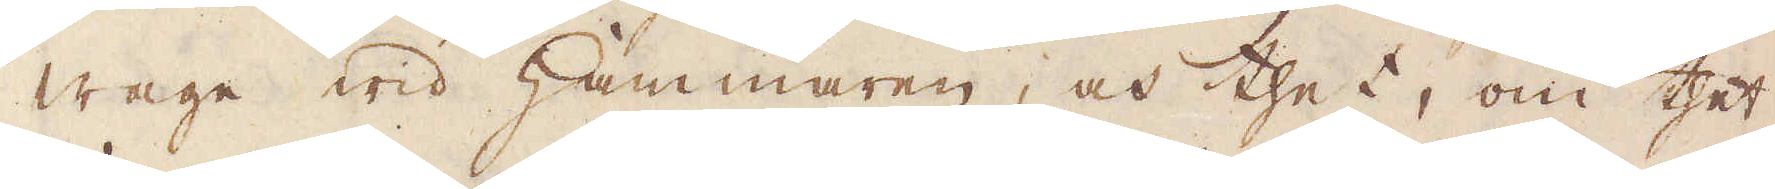wage wid hammaren, och thet, om thet
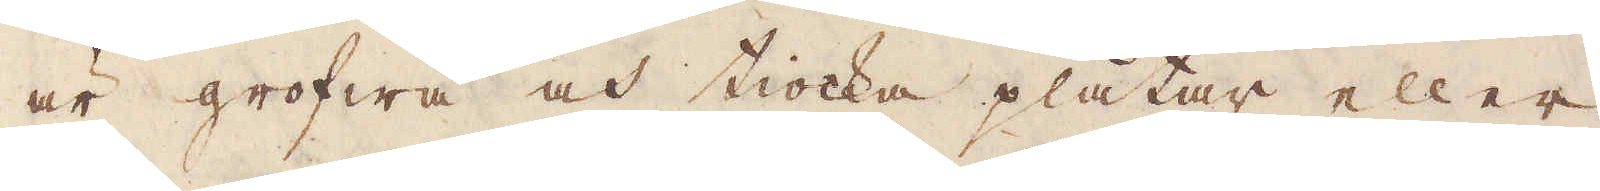är grofwa och tiocka plåtar eller
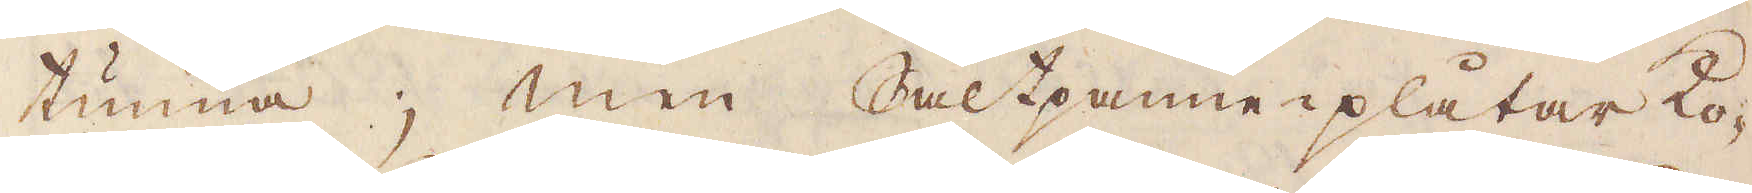tunna; men Saltpanne-plåtar ko-
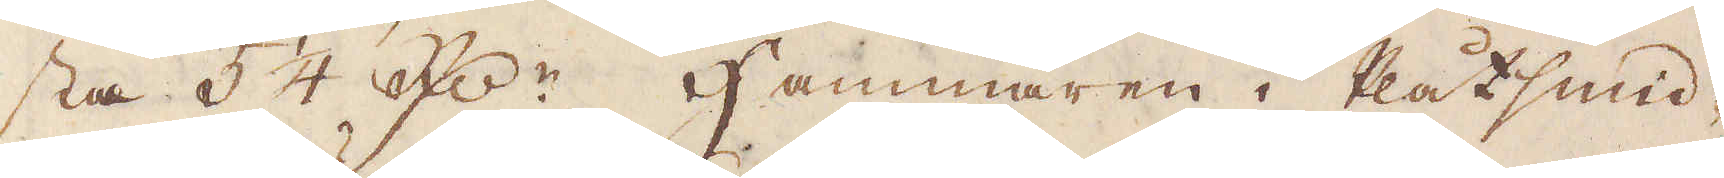sta 54 R:dr. Hammaren i Plåtsmid-
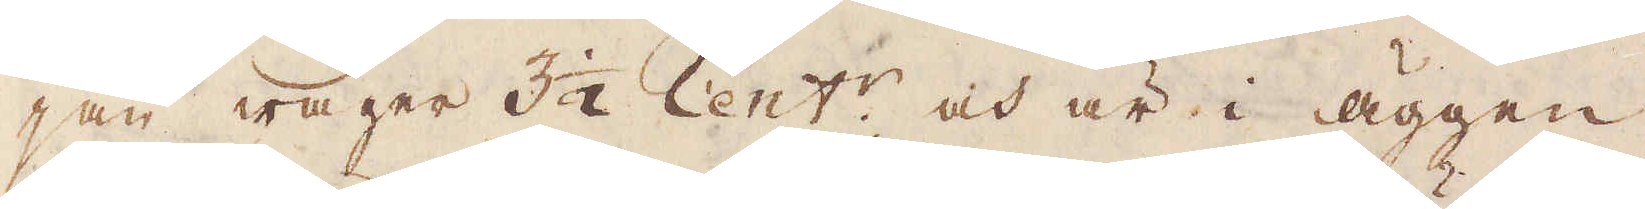jan wäger 3 1/2 Cent:r och är i äggen
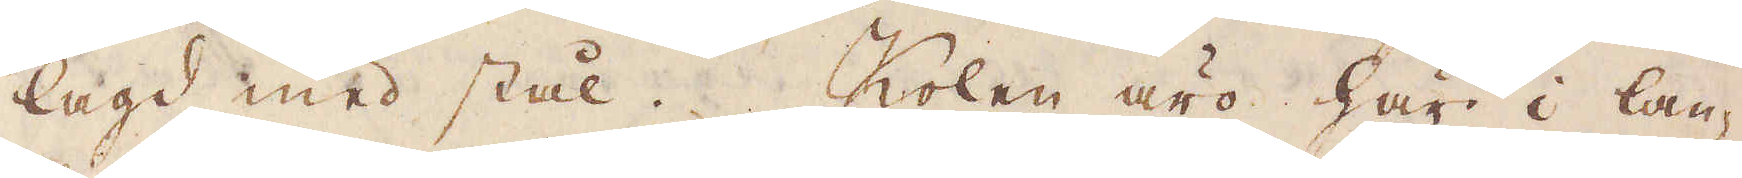lagd med stål. Kolen äro här i lan-
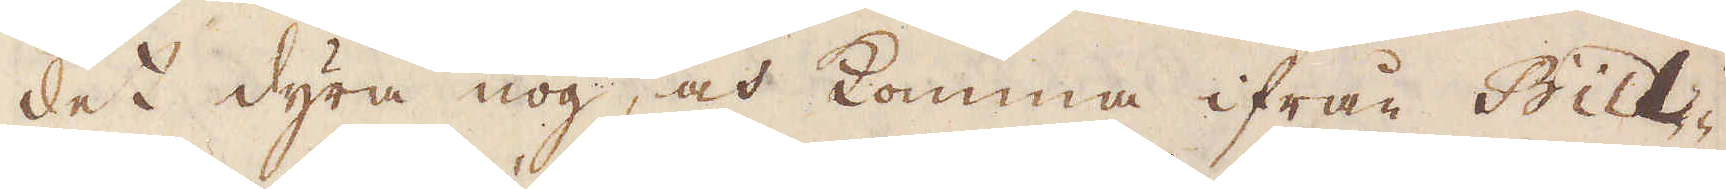det dyra nog, och komma ifrån Bill-
